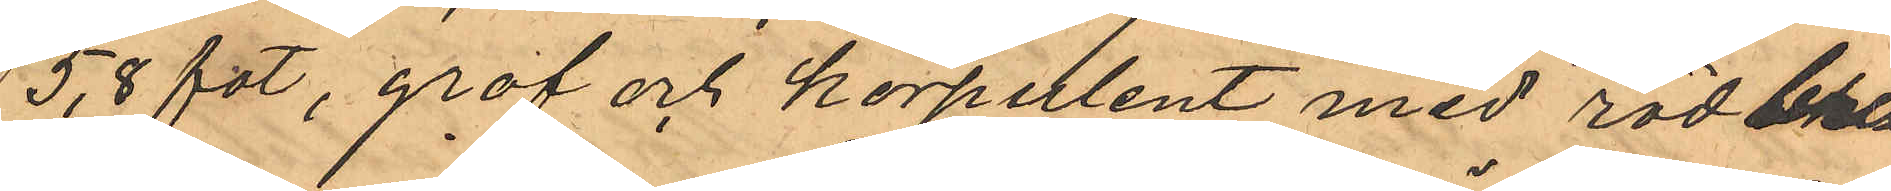5,8 fot, gröf och korpulent med rödbru¬
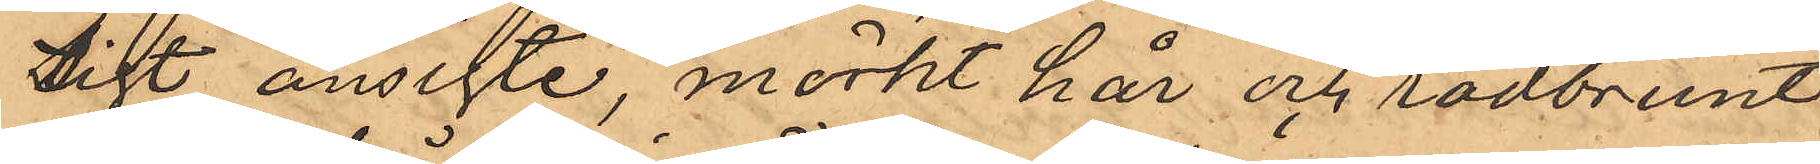sigt ansifte, mörkt hår och rödbrunt,
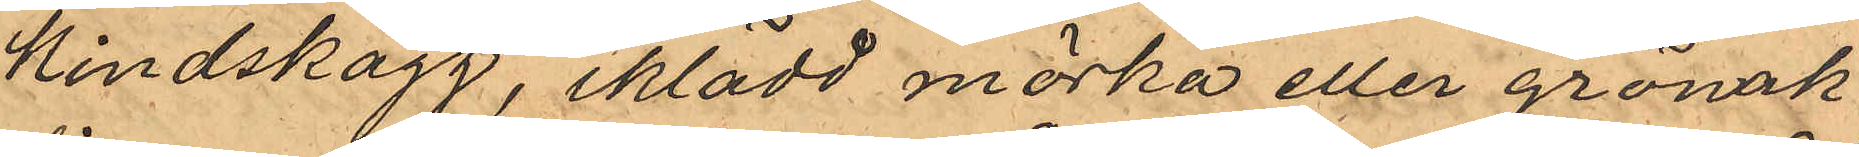Kindskägg, iklädd mörka eller grönak¬
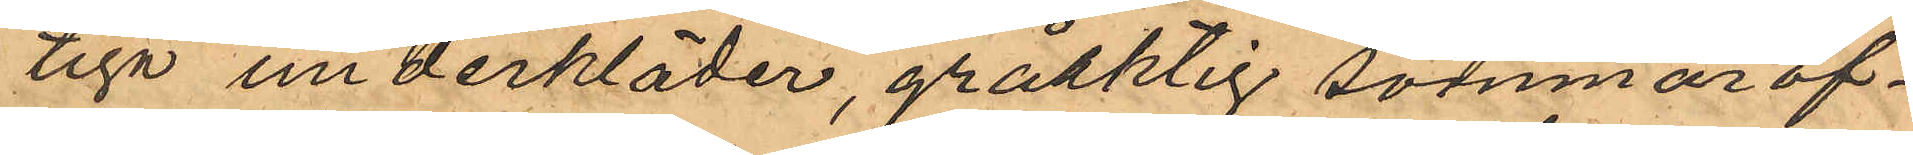tiga underkläder, gråaktig sommaröf¬
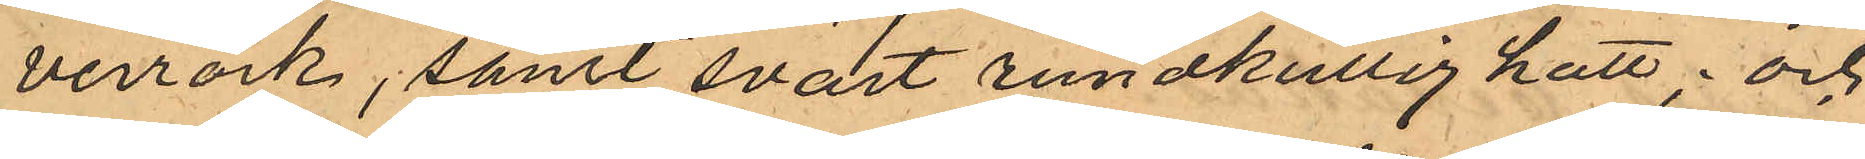verrock, samt svart rundkullig hatt; och
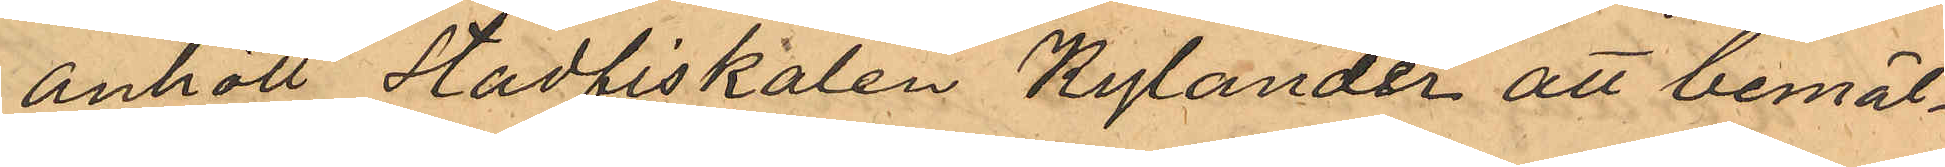anhöll Stadfiskalen Rylander att bemäl¬
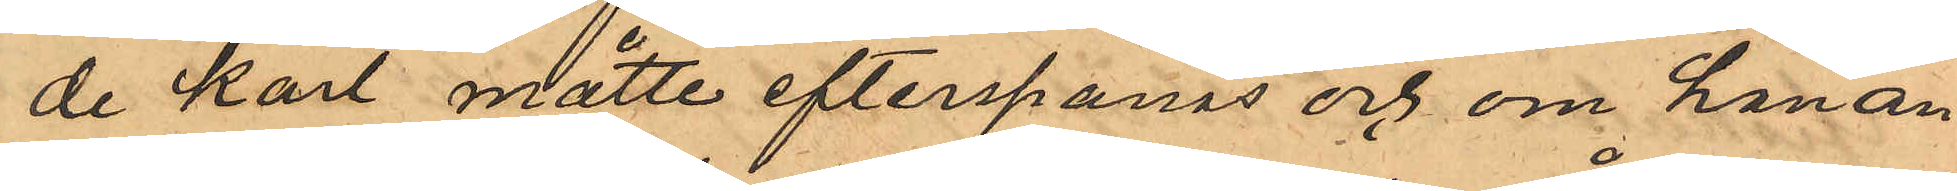de karl måtte efterspanas och om han an¬
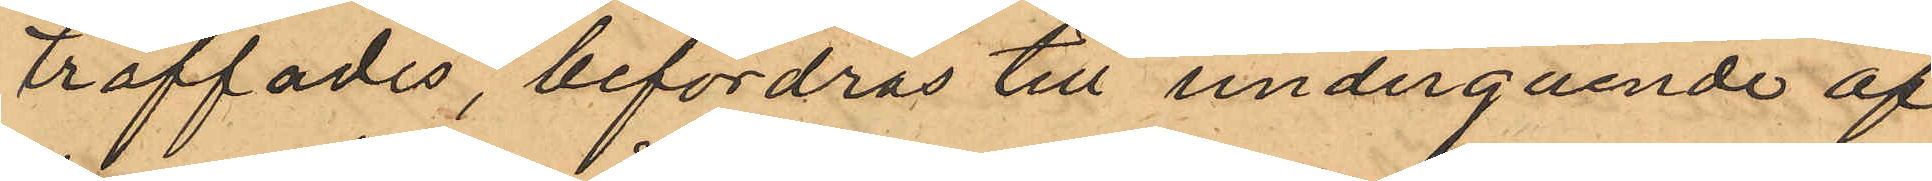träffades, befordras till undergående af
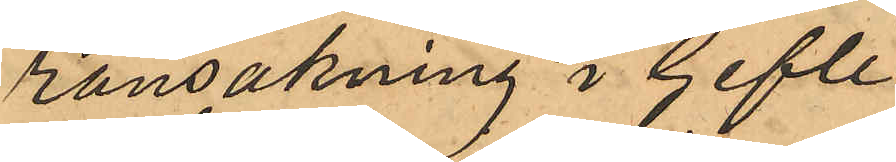ransakning i Gefle.
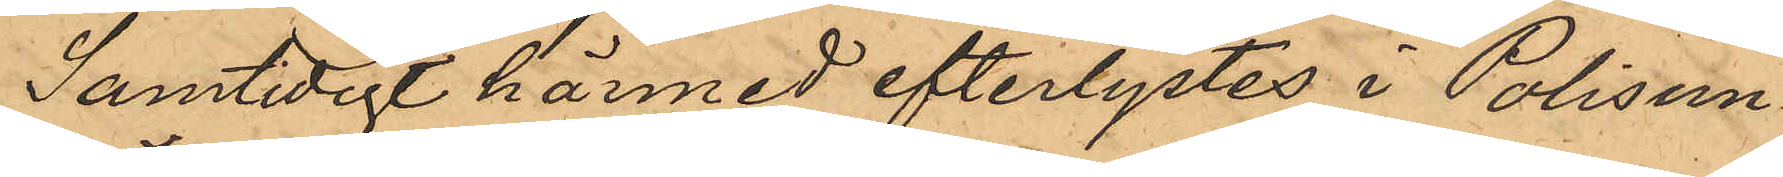Samtidigt härmed efterlystes i Polisun¬
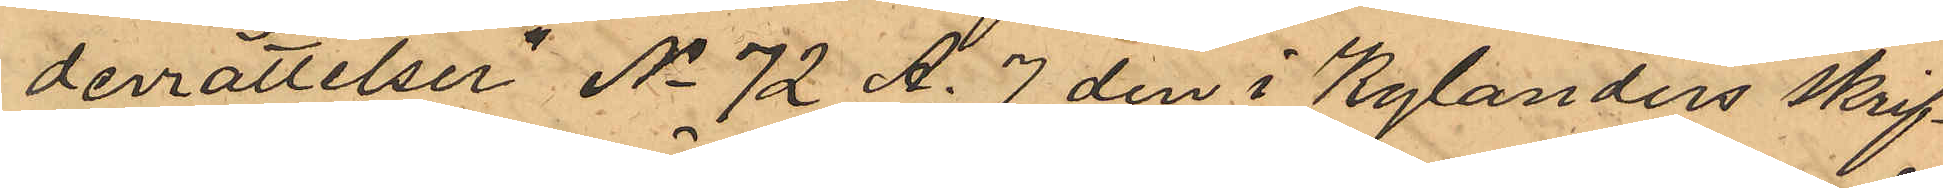derrättelser No 72 A. 7 den i Kylanders skrif¬
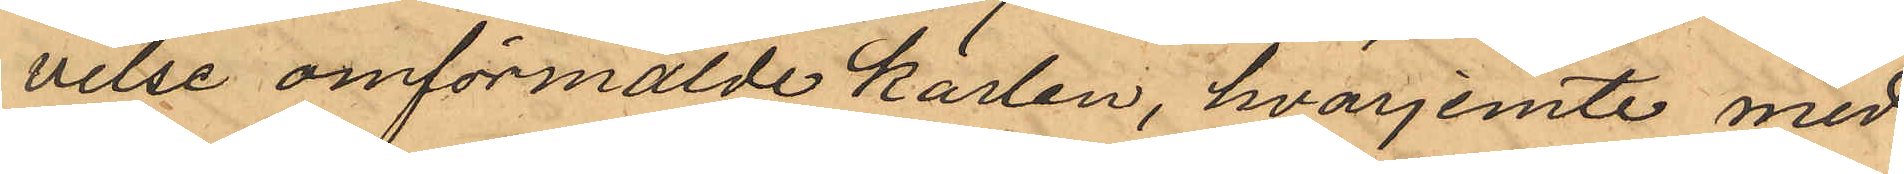velse omförmälde karlen, hvarjemte med¬
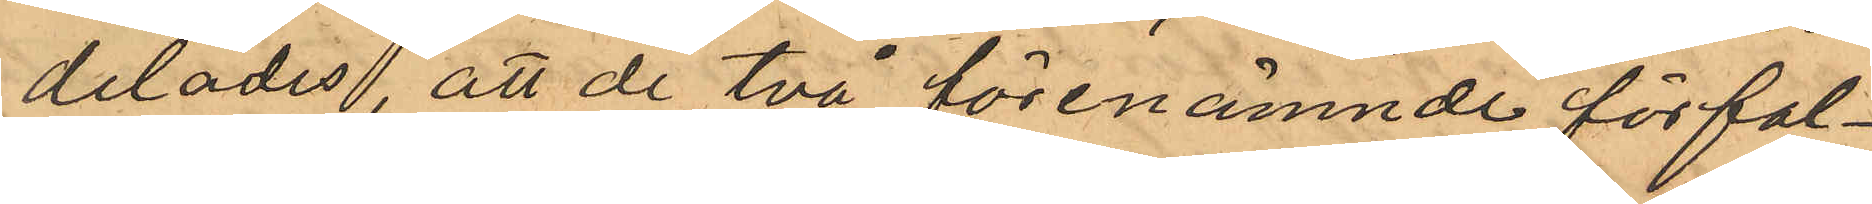delades, att de två förenämnde förfal¬
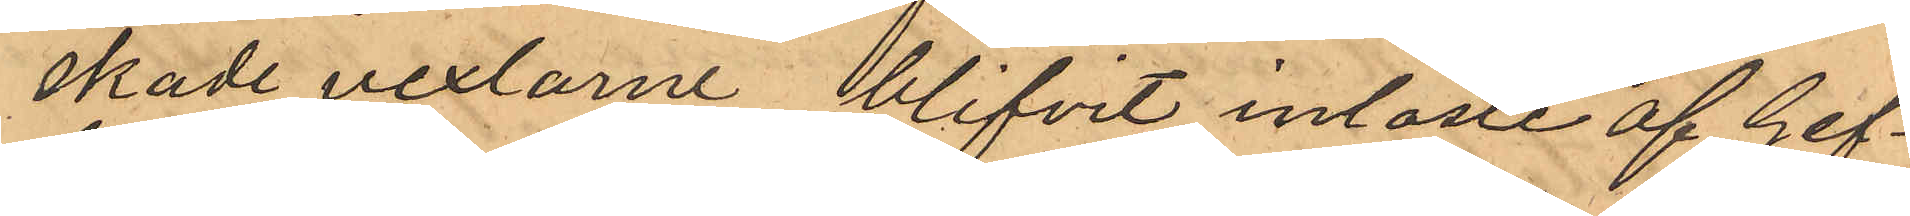skade vexlarne blifvit inlöste af Gef¬
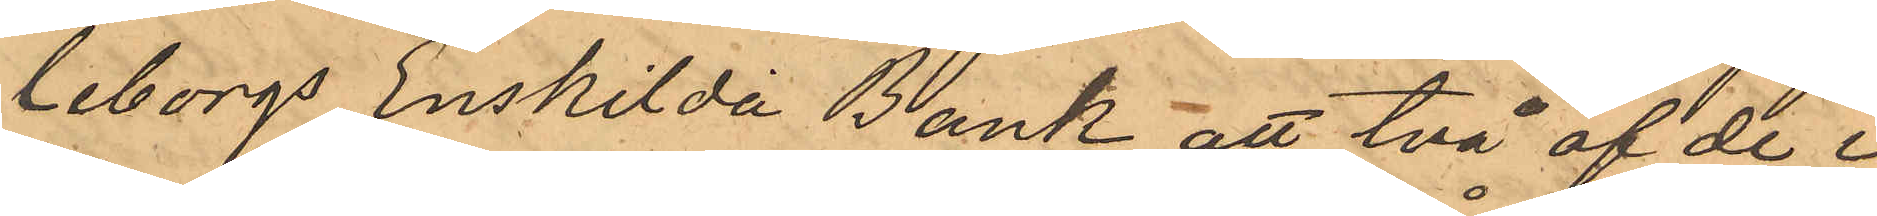leborgs Enskilda Bank, att två af de i
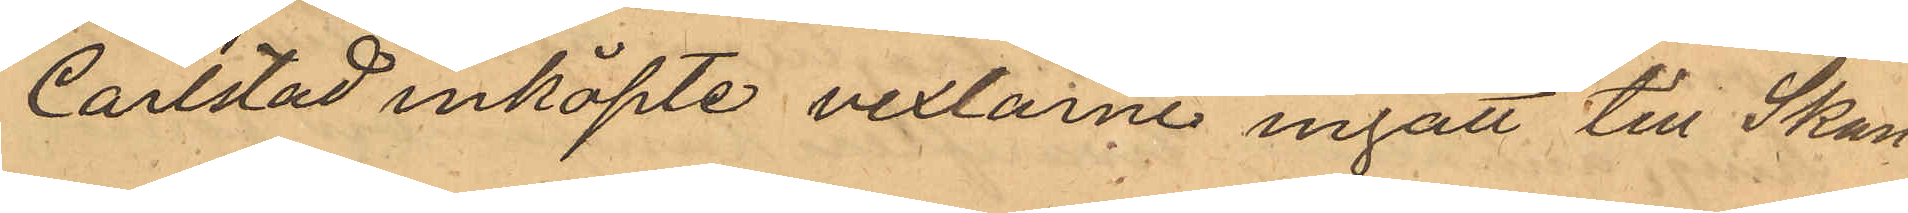Carlstad inköpte vexlarne ingått till Skan¬
